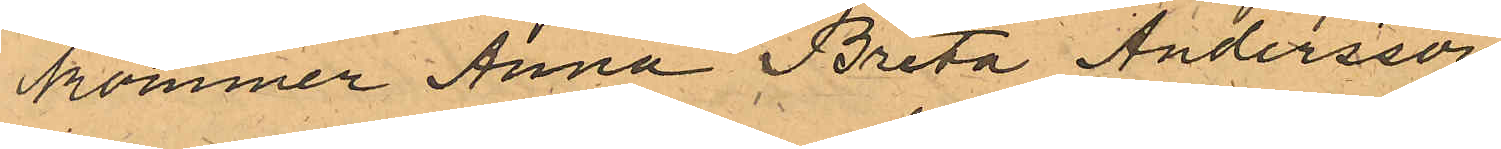kommer Anna Brita Andersson
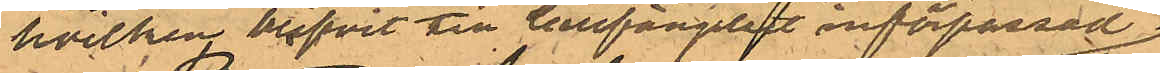hvilken blifvit till Cellfängelset införpassad
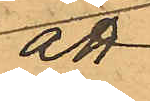att
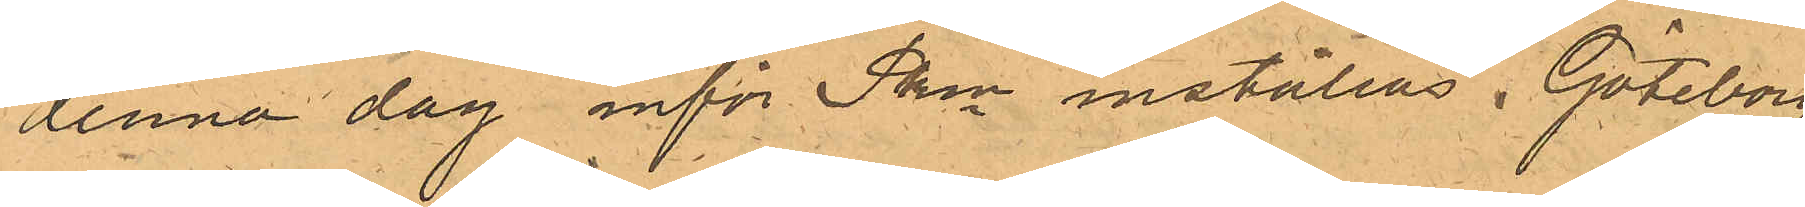denna dag inför Pkn inställas. Göteborg
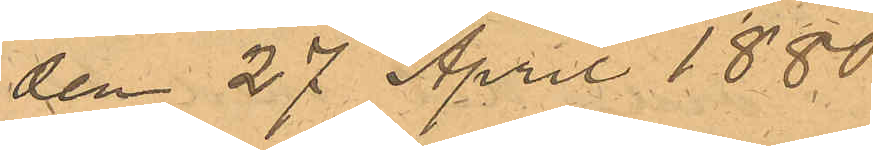den 27 April 1880.
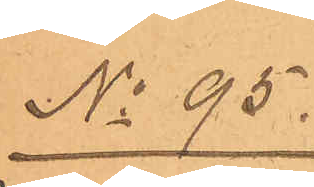No 95.
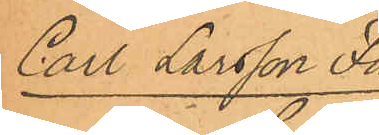Carl Larsson Fa¬
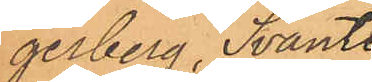gerberg, Svante
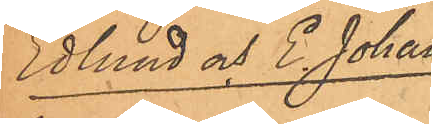Edlund och E. Johan¬
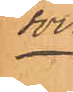son.
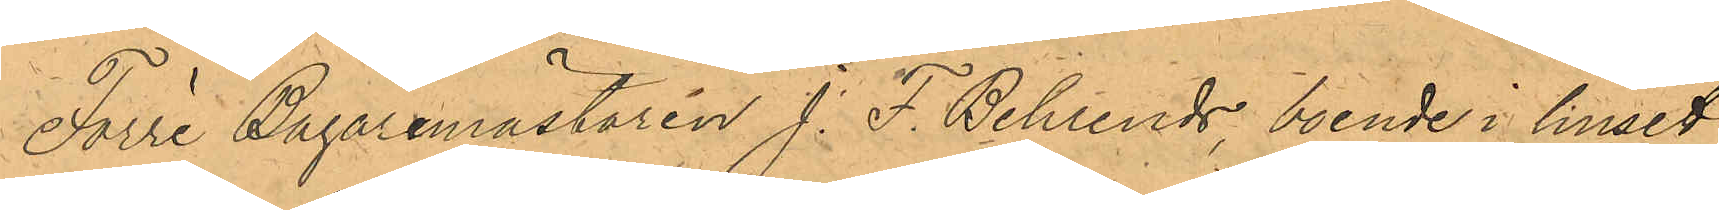Förre Bagaremästaren J. F. Behrends boende i huset
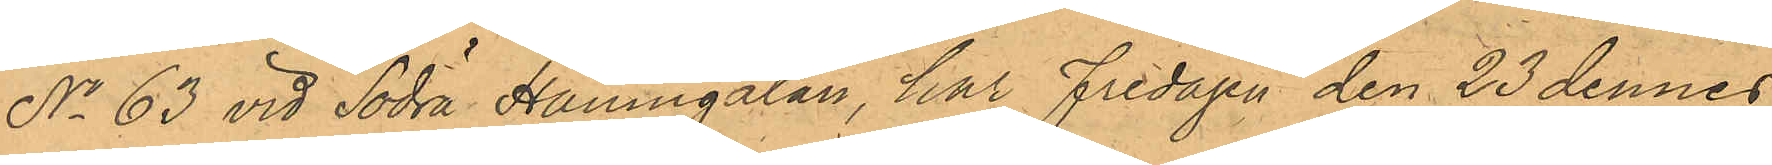No 63 vid Södra Hamngatan, har Fredagen den 23 dennes
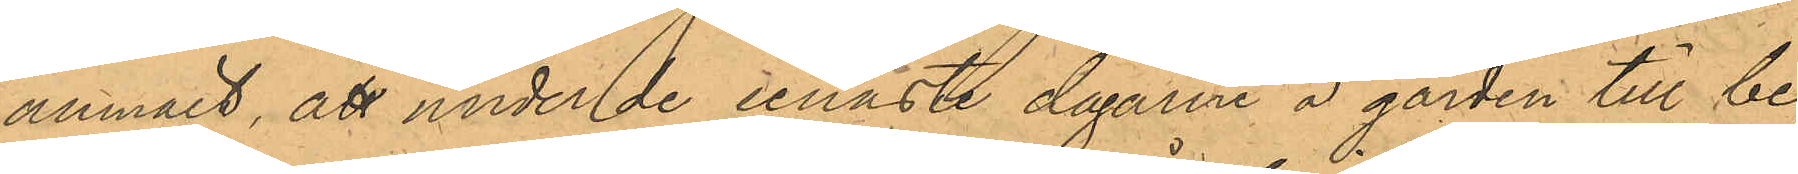anmält, att under de senaste dagarne å gården till be¬
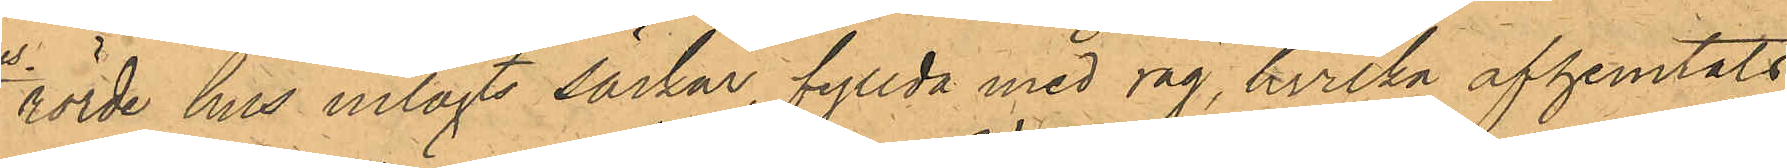rörde hus inlagts säckar fyllda med råg, hvilka afhemtats
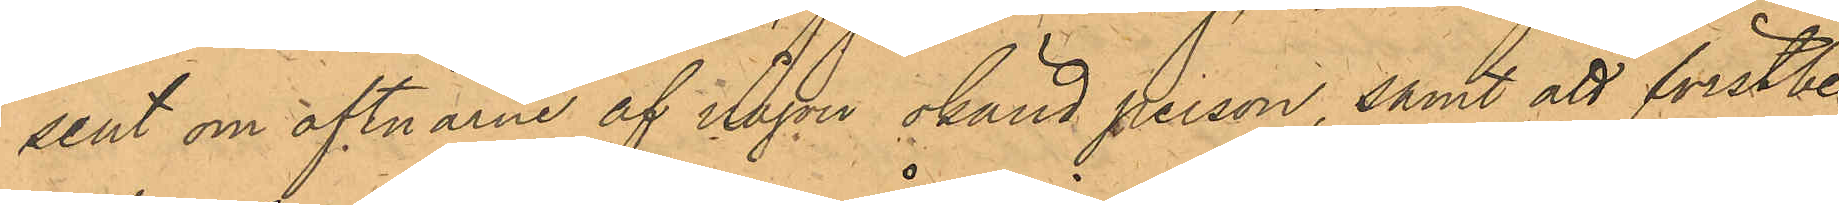sent om aftnarne af någon okänd person, samt att förstbe¬
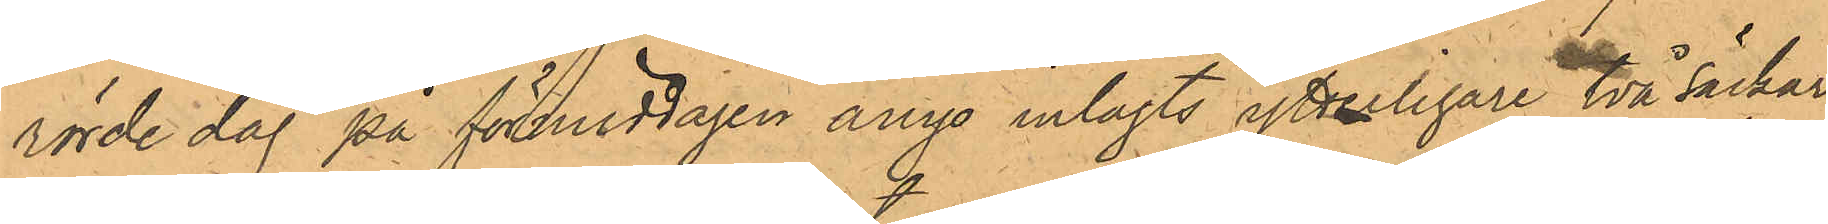rörde dag på förmiddagen ånyo inlagts ytterligare två säckar
